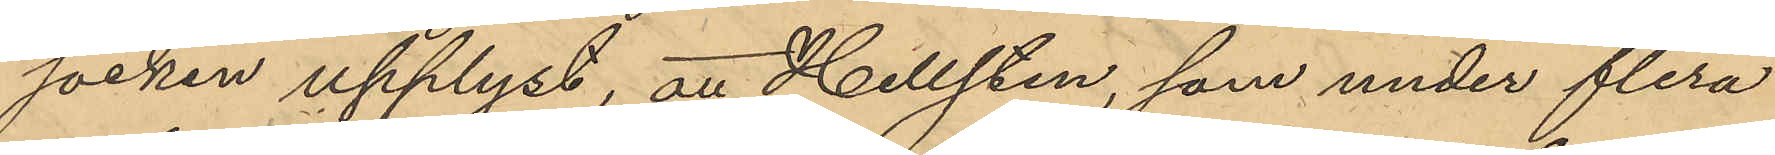socken upplyst, att Hellsten, som under flera
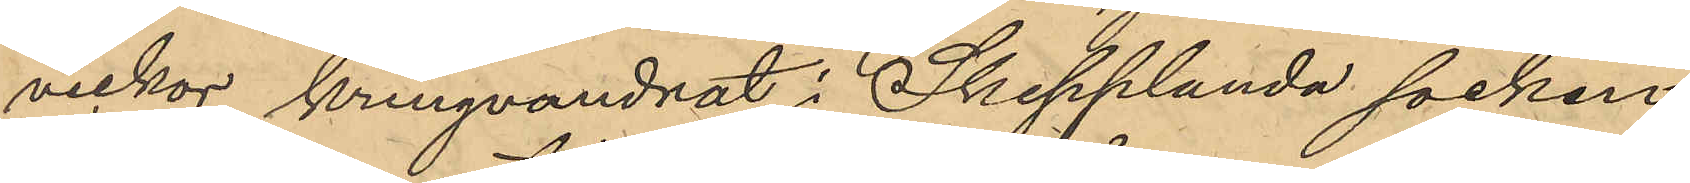veckor kringvandrat i Skepplanda socken
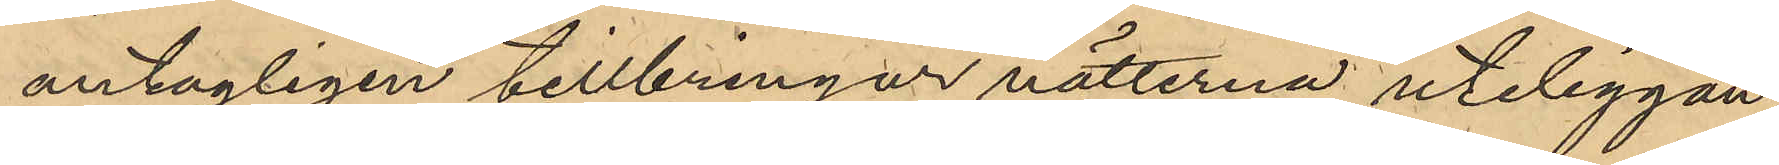antagligen tillbringar nätterna uteliggan¬
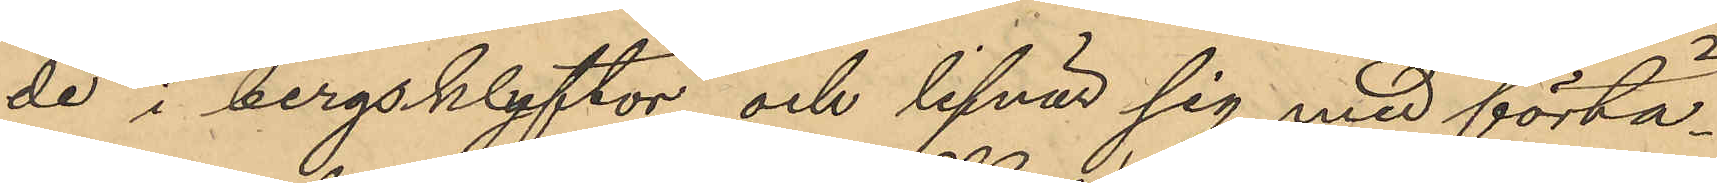de i bergsklyftor och lifnär sig med förtä¬
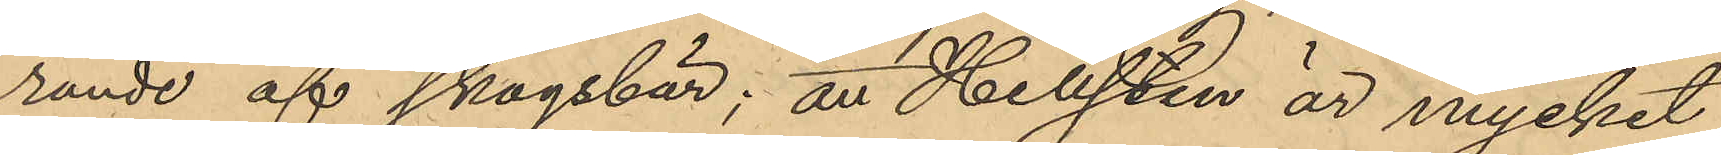rande af skogsbär; att Hellsten är mycket
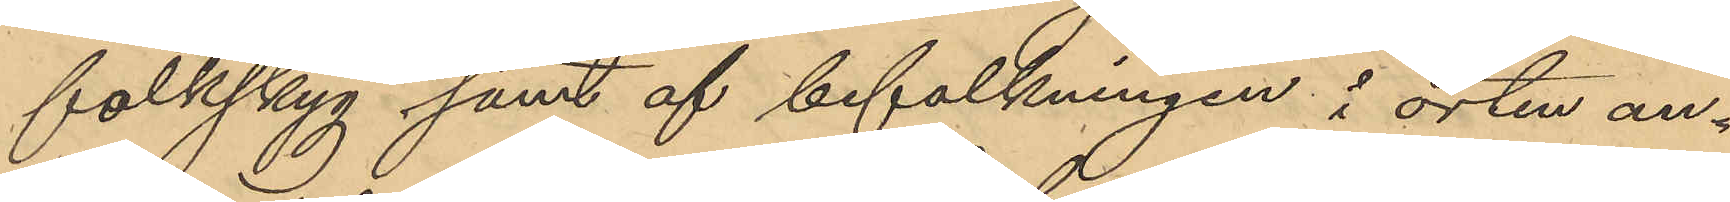folkskyg samt af befalkningen i orten an¬
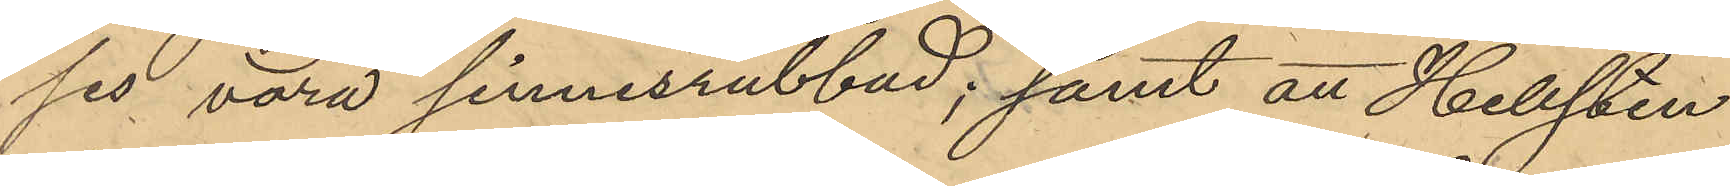ses vara sinnesrubbad; samt att Hellsten
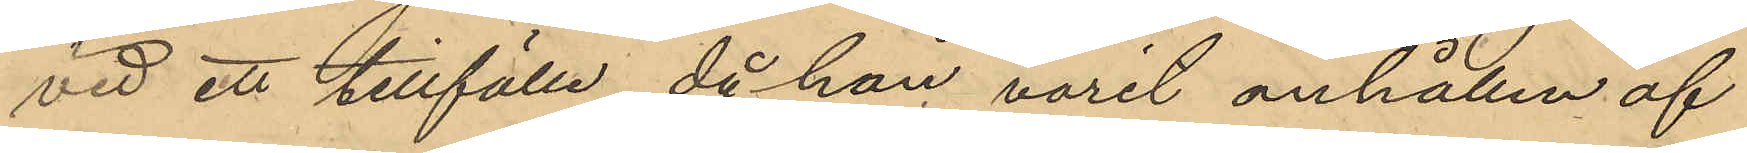vid ett tillfälle då han varit anhållen af
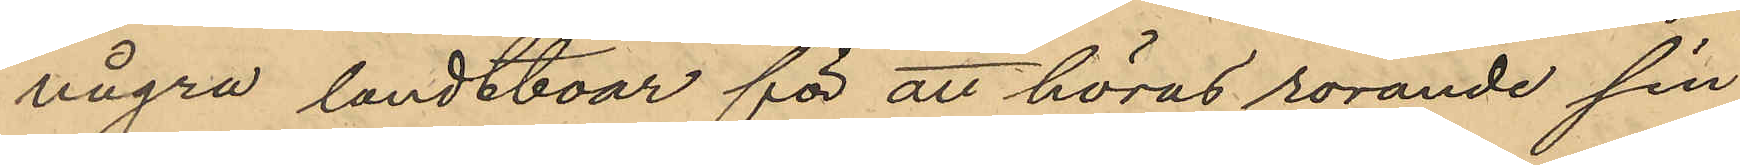några landtboar för att höras rörande sin
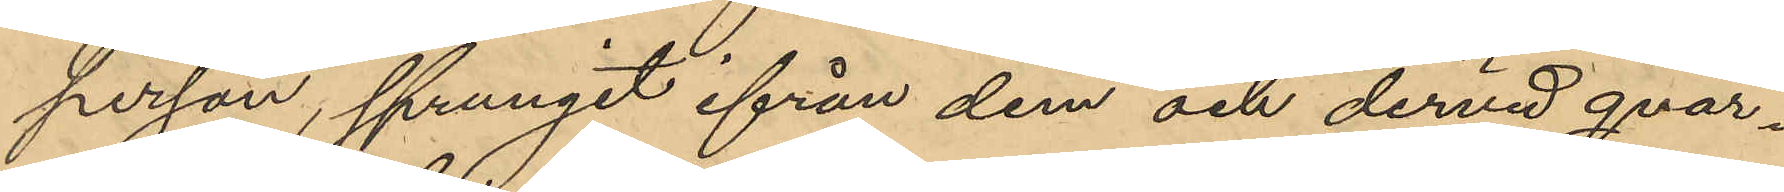person, sprungit ifrån dem och dervid qvar¬
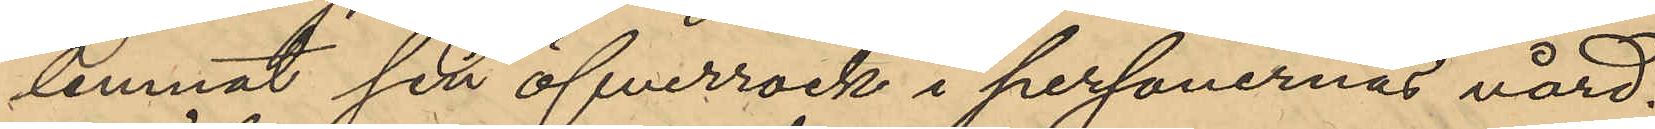lemnat sin öfverrock i personernas vård.
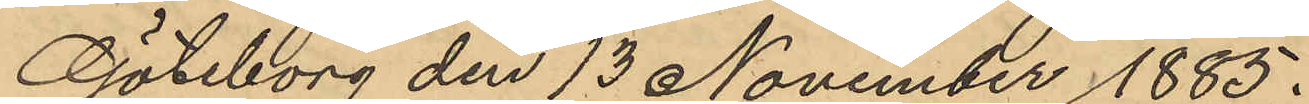Göteborg den 13 November 1885.
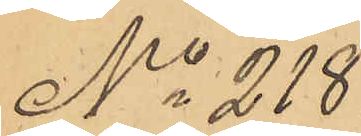No 218
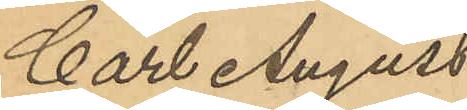Carl August
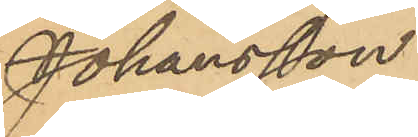Johansson
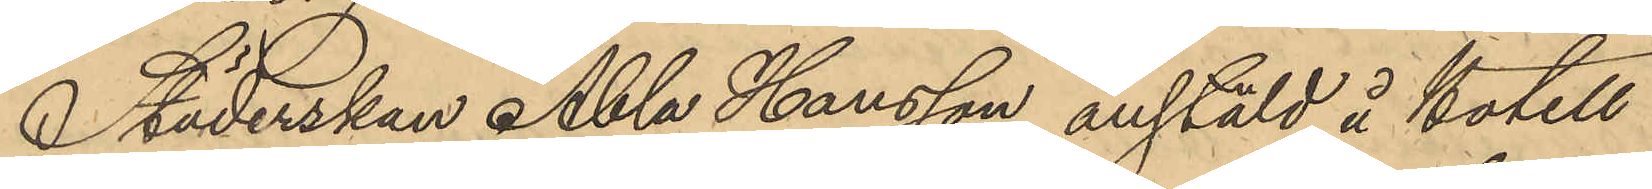Städerskan Abla Hansson anstäld å hotell
